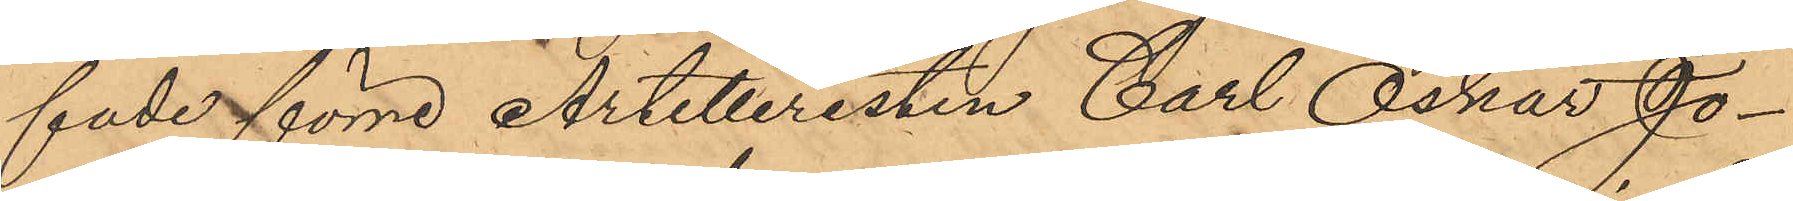fade förre Artilleristen Carl Oskar Jo¬
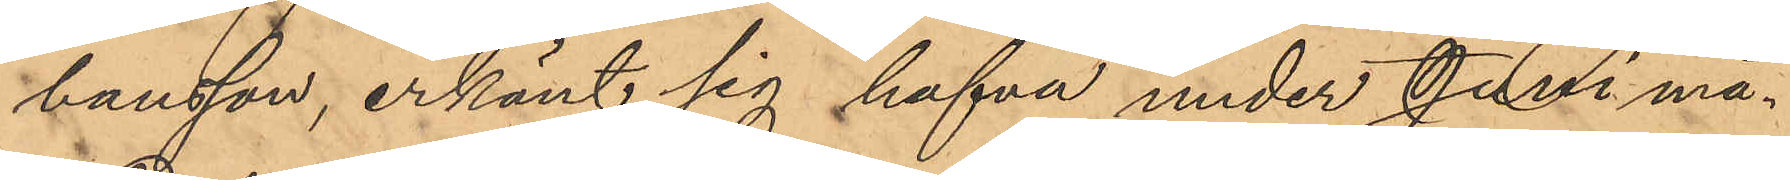hansson, erkänt sig hafva under Juni må¬
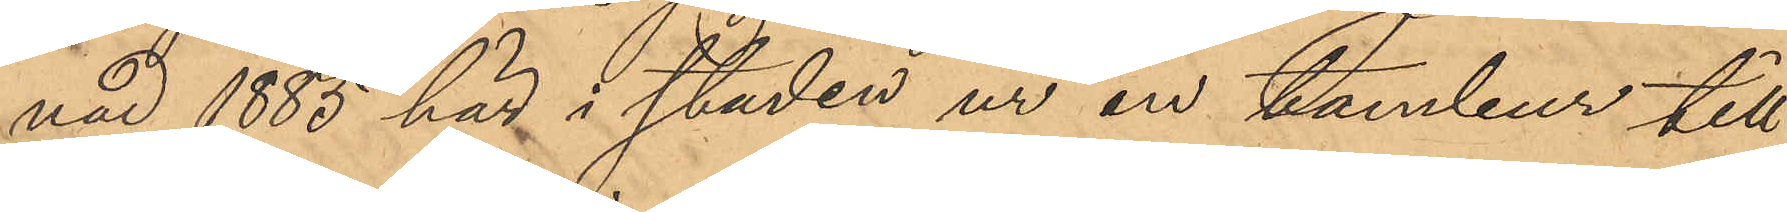nad 1885 här i staden ur en tambur till
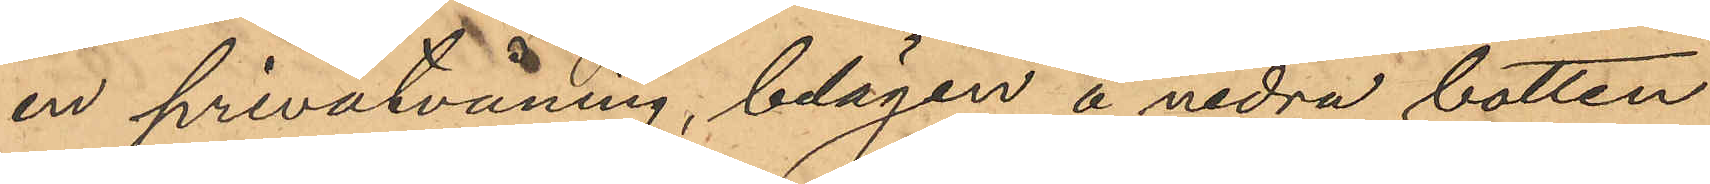en privatvåning, belägen å nedra botten
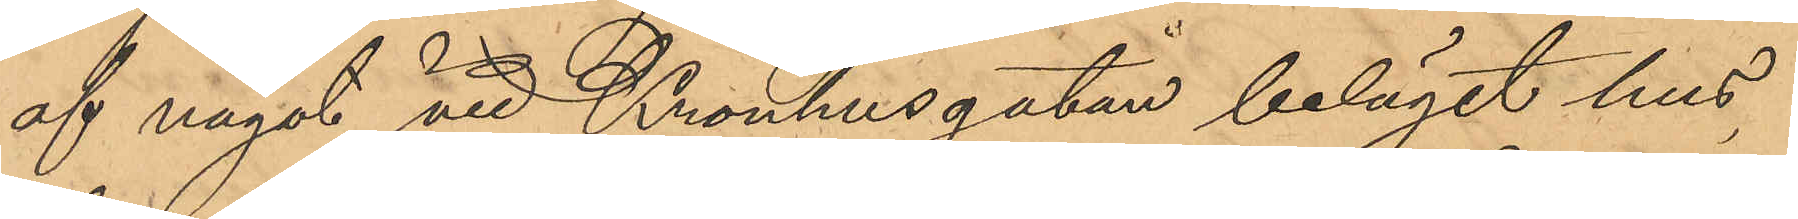af något vid Kronhusgatan beläget hus,
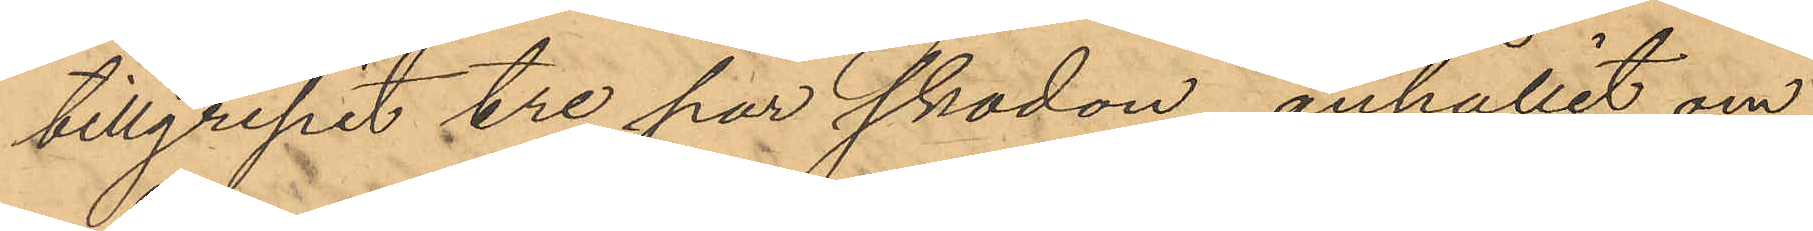tillgripit tre par skodon, anhållit om
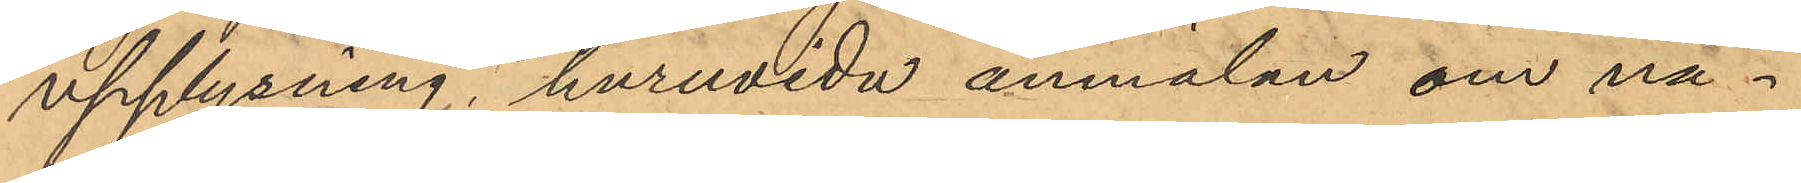upplysning, huruvida anmälan om nå¬
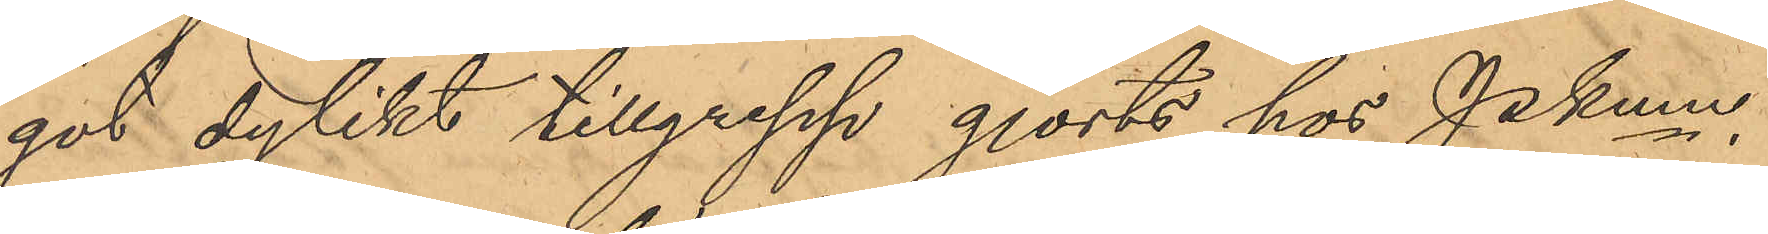got dylikt tillgrepp gjorts hos PKmn.
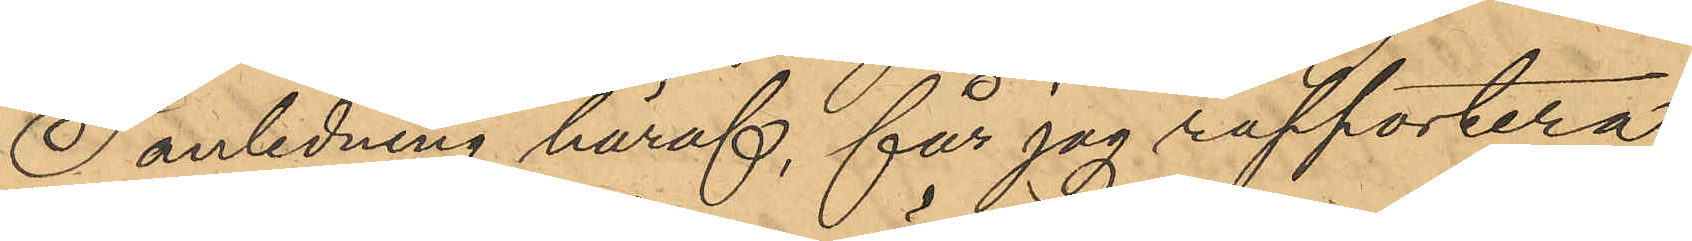I anledning häraf, får jag rapportera,
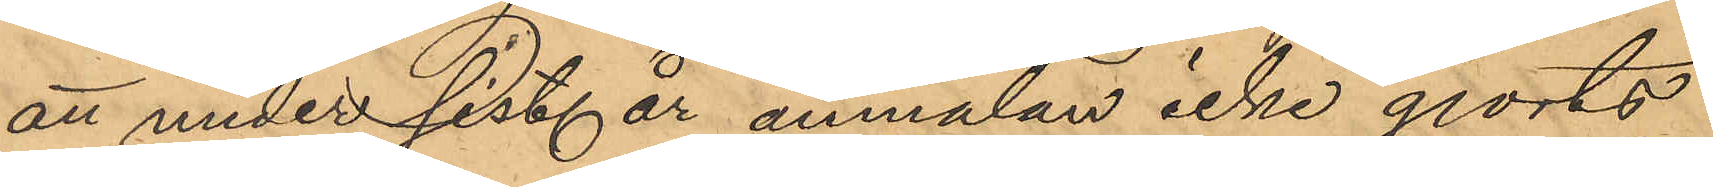att under sist år anmälan icke gjorts
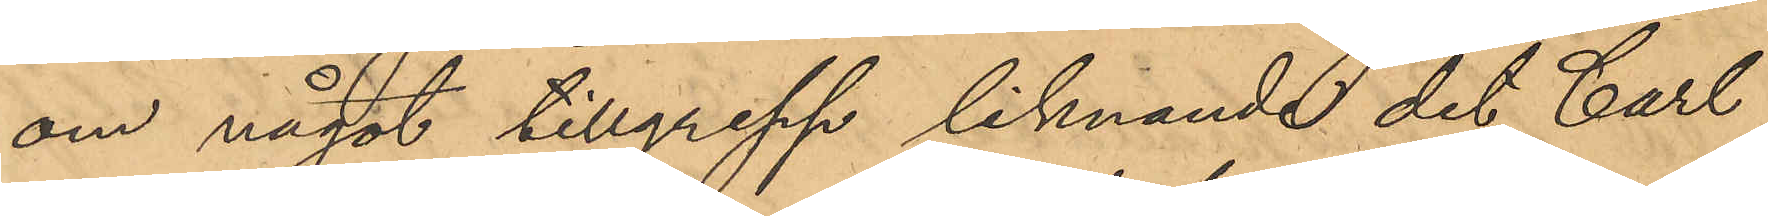om något tillgrepp liknande det Carl
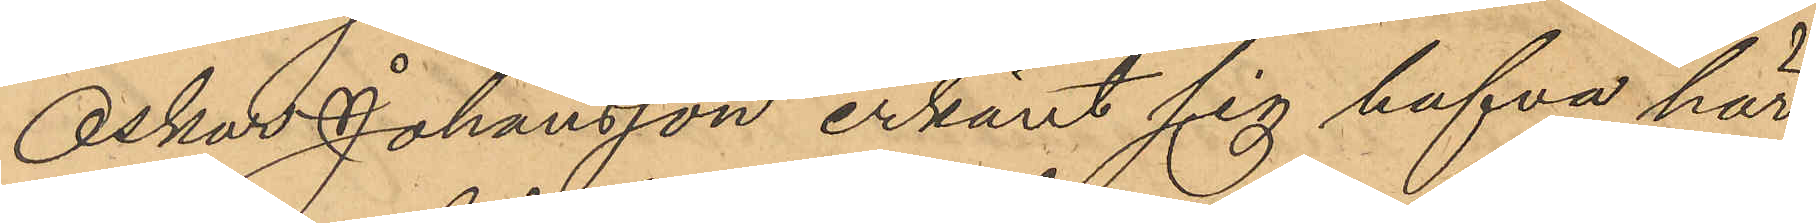Oskar Johansson erkänt sig hafva här
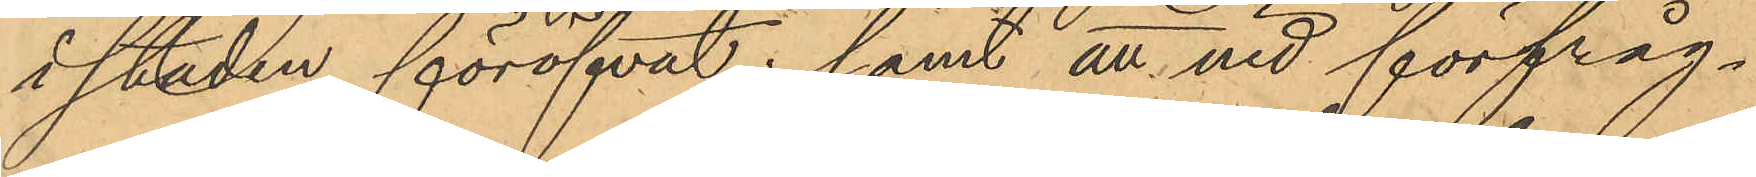i staden föröfvat; samt att vid förfråg¬
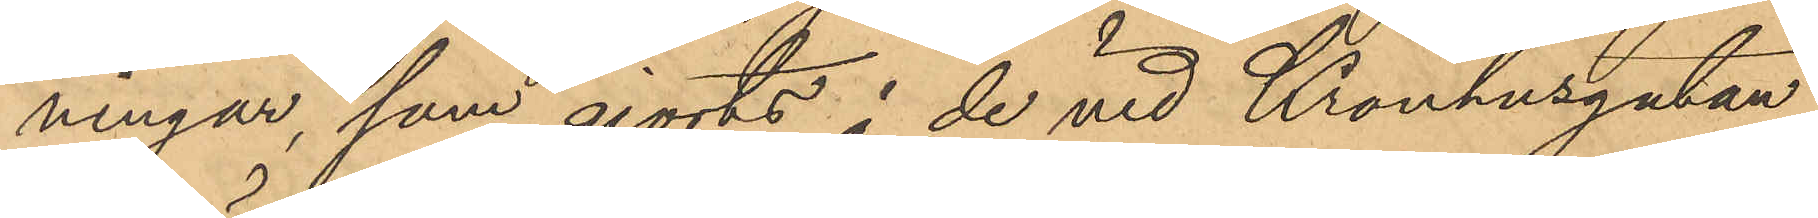ningar, som gjorts å de vid Kronhusgatan
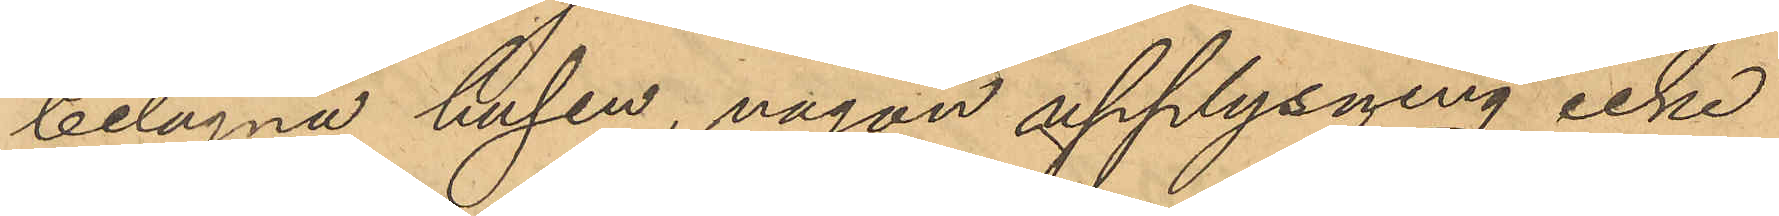belägna husen, någon upplysning icke
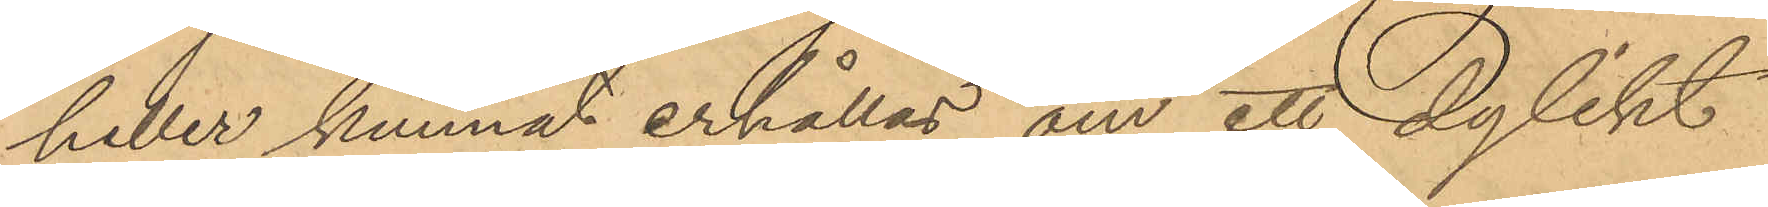heller kunnat erhållas om ett dylikt
